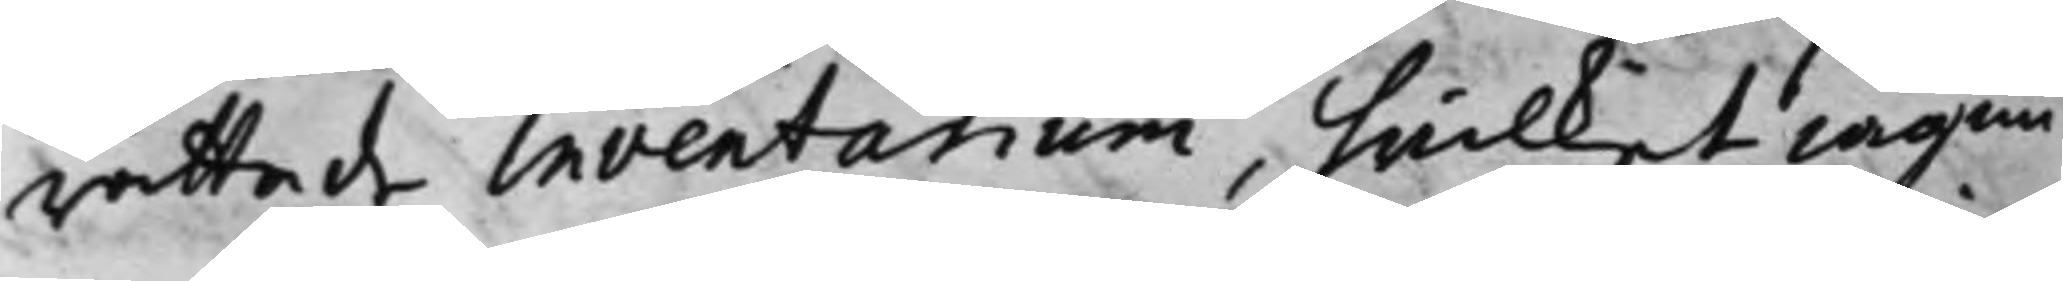rättade Inventarium, hwilket iag nu
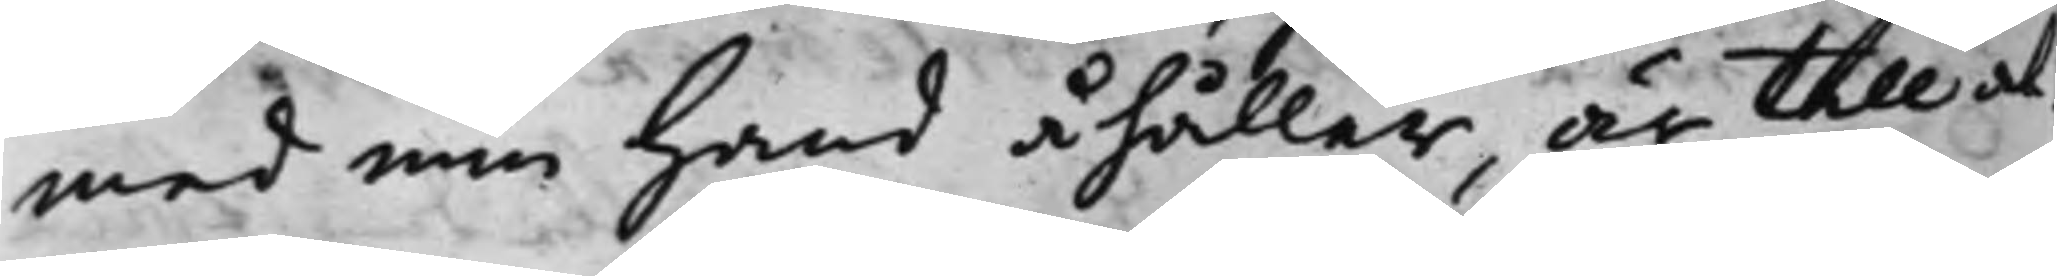med min Hand åhåller, är Till al¬
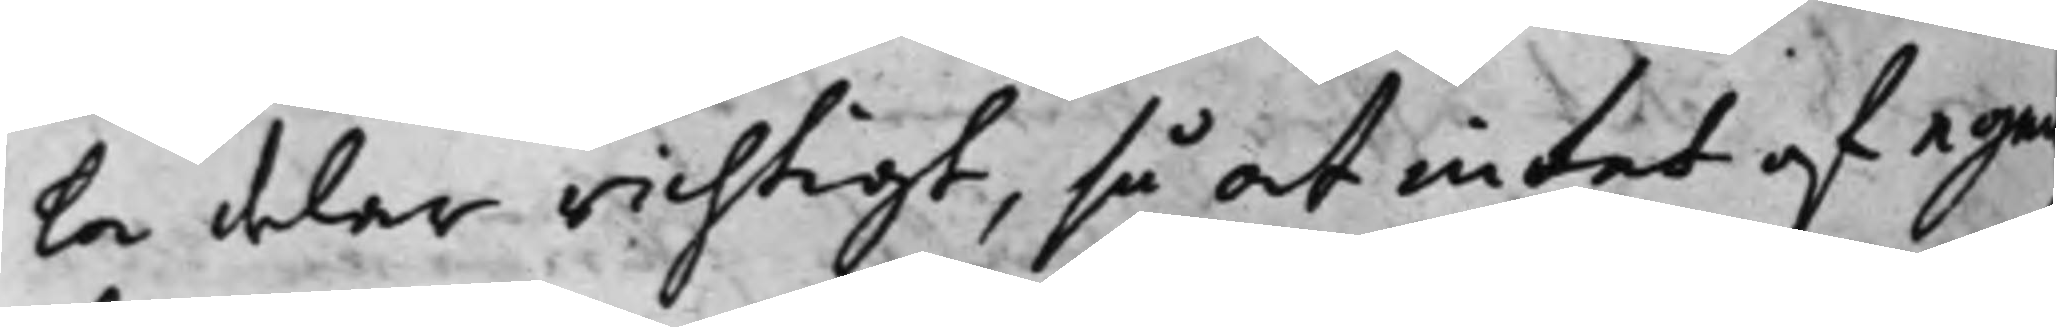la delar richtigt, så at intet af egen¬
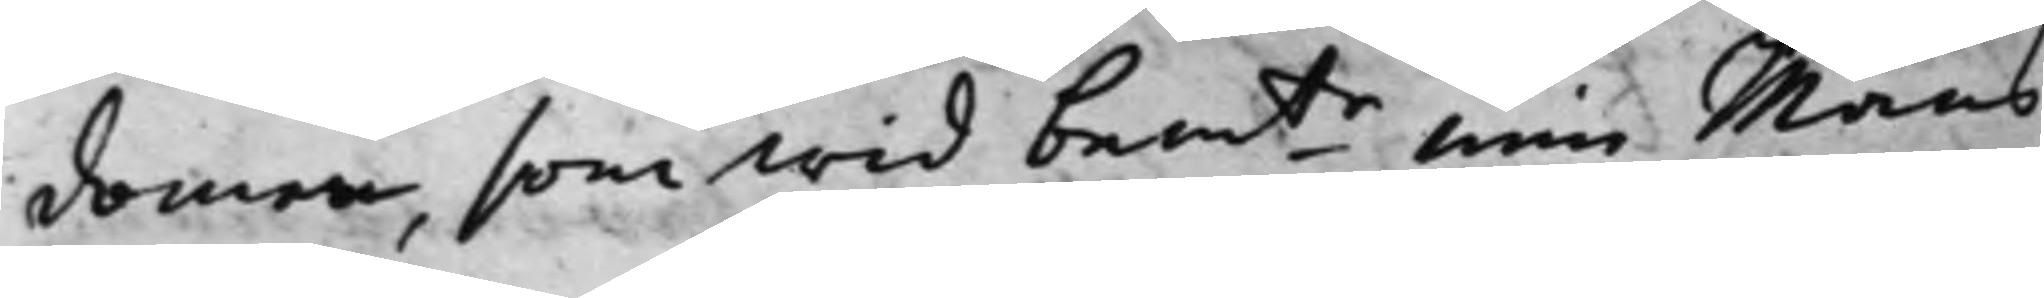domen, som wid bemte min Mans
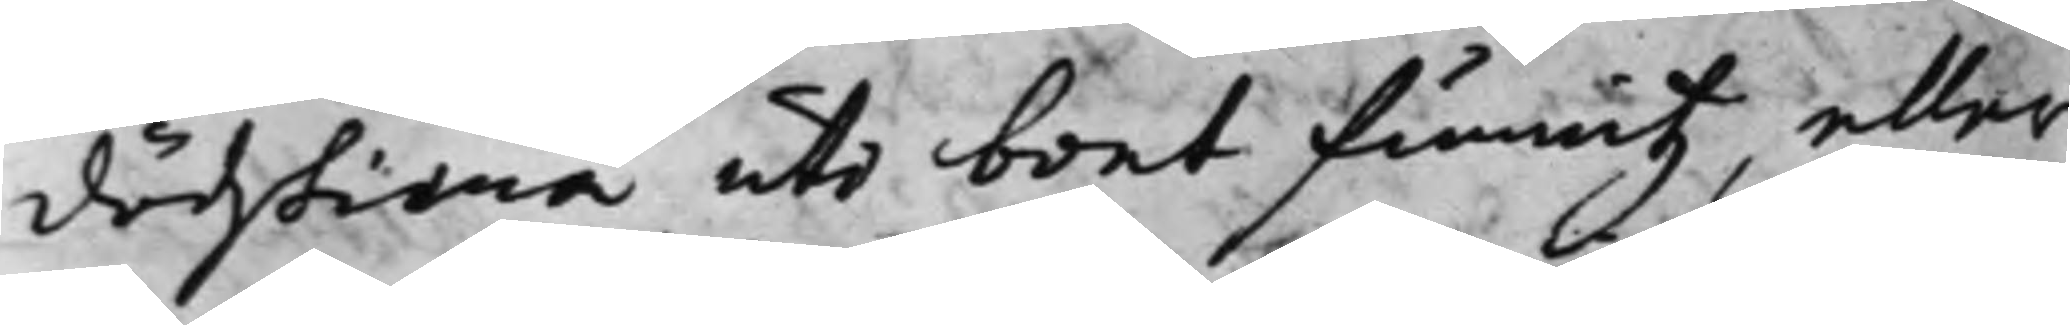dödztima uti boet funnitz, eller
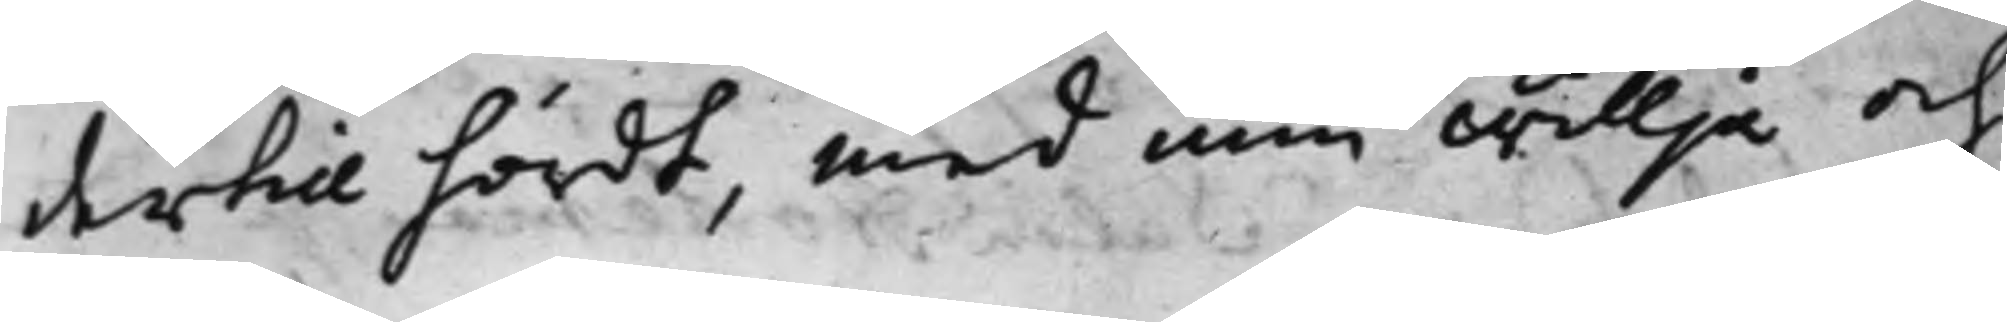dertill hördt, med min willja och
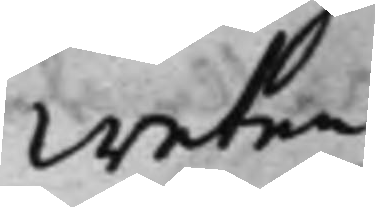Weten¬
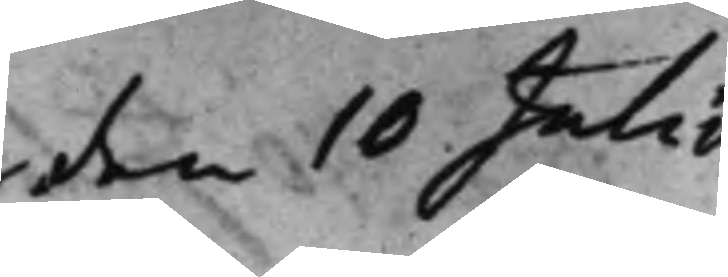den 10 Julii
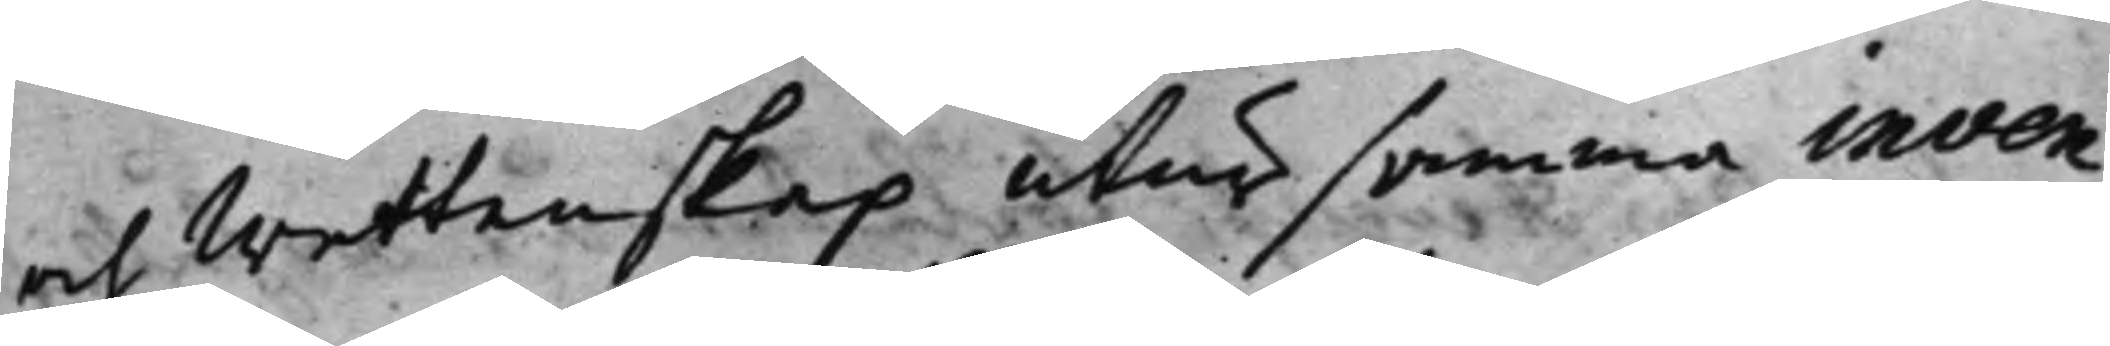och Wettenskap utur samma inven¬
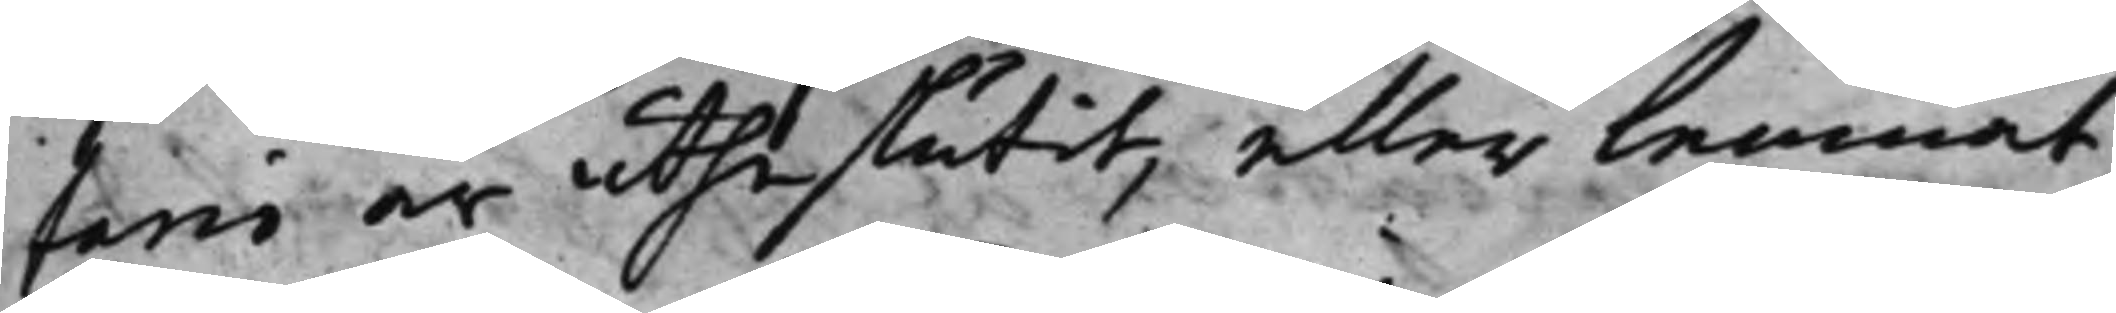tario är utheslutit, eller lemnat,
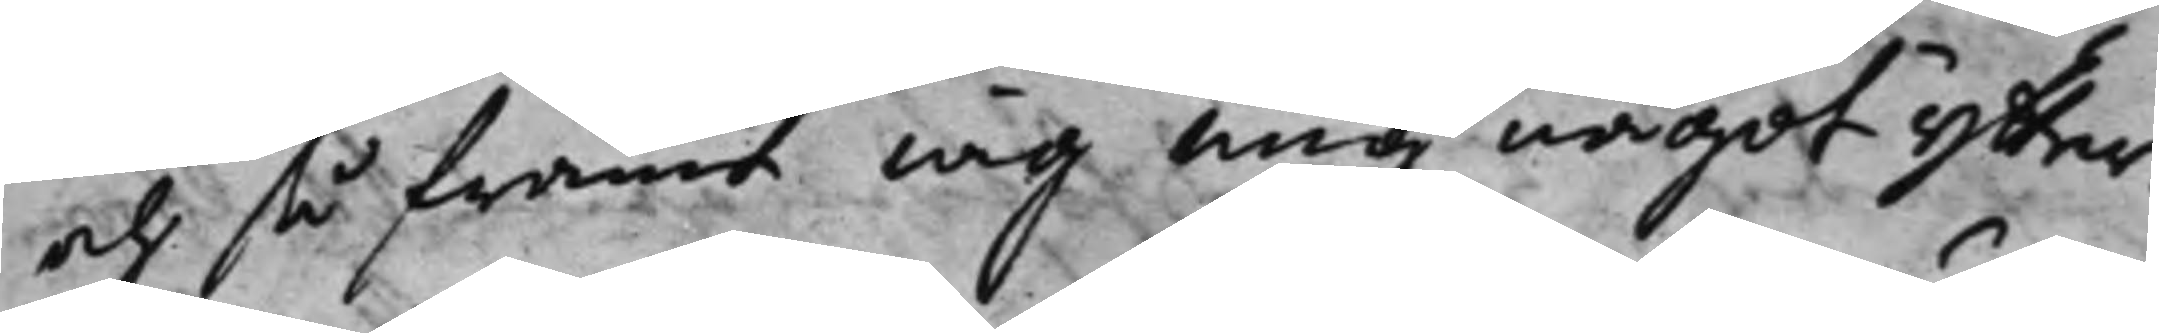och så framt iag mig något ytter¬
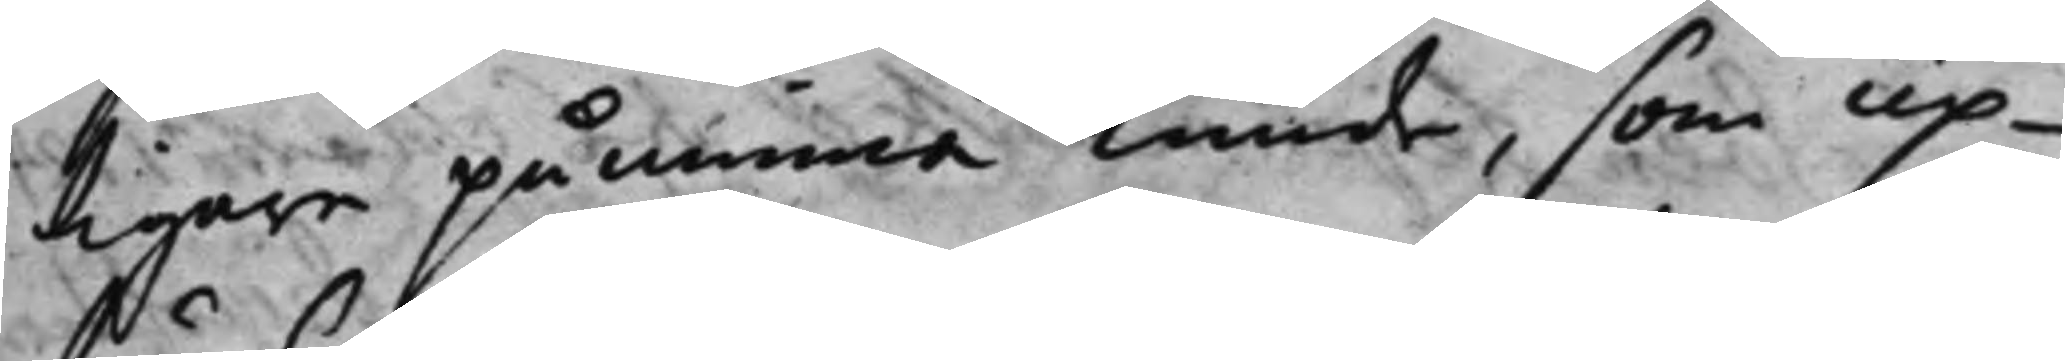tigare påminna kunde, som up¬
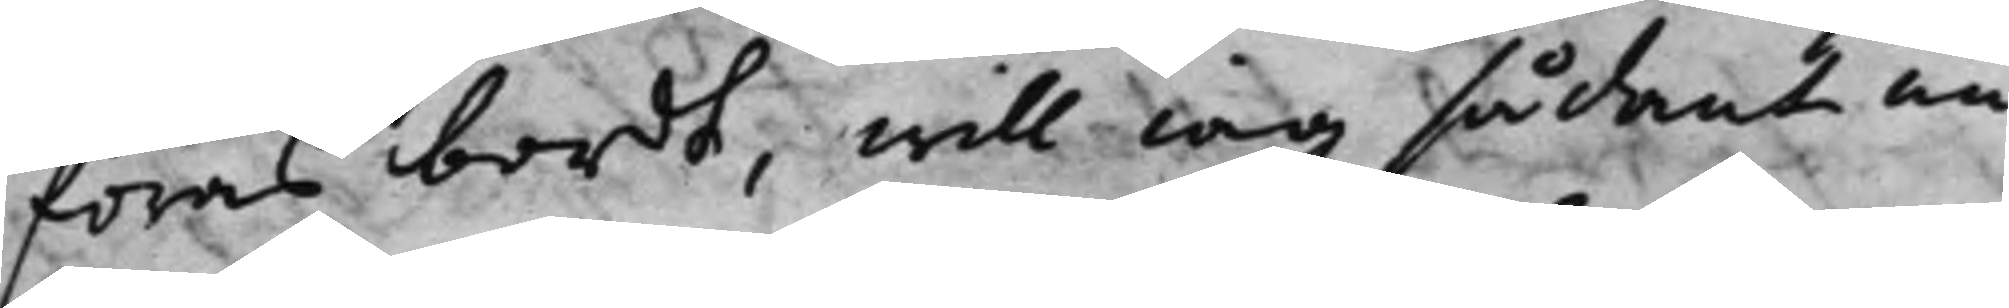föras bordt, will iag sådan un¬
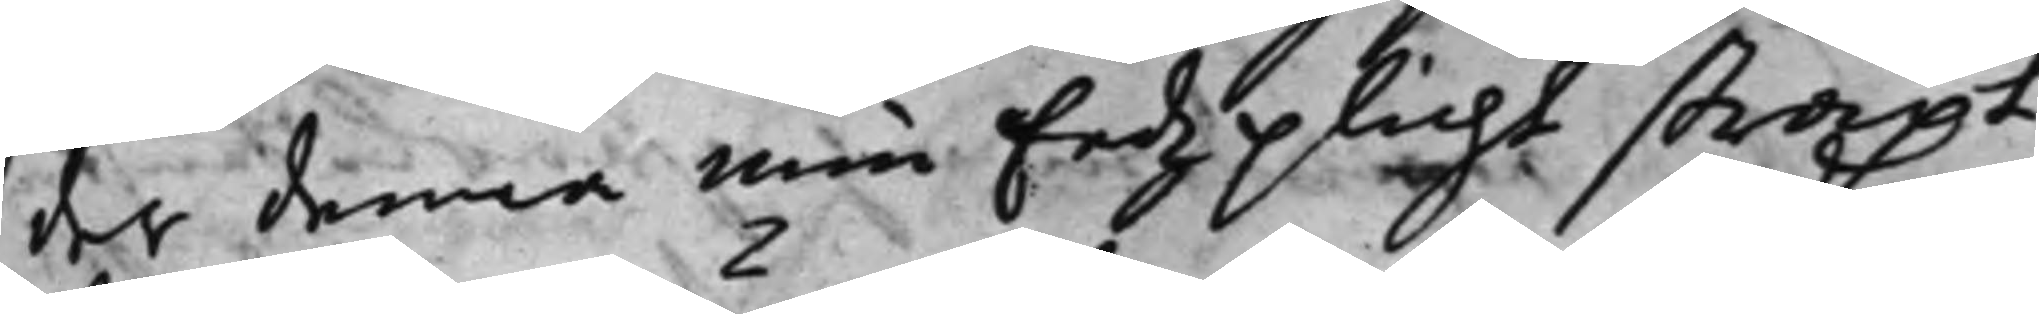der denna min Eedz plicht straxt
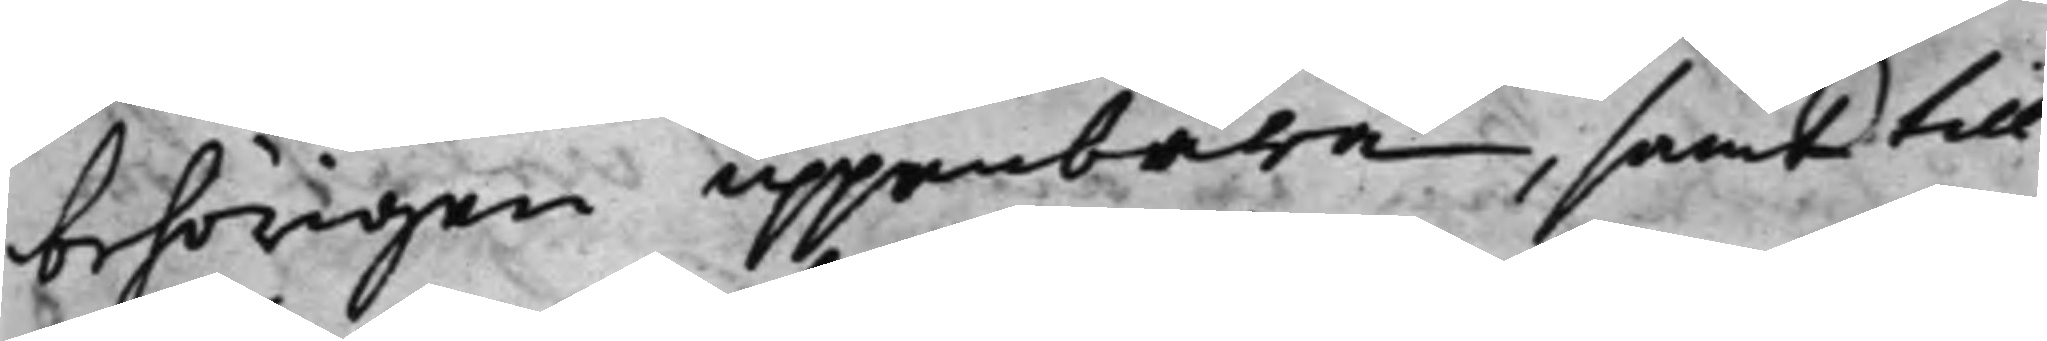behörigen uppenbara, samt till¬
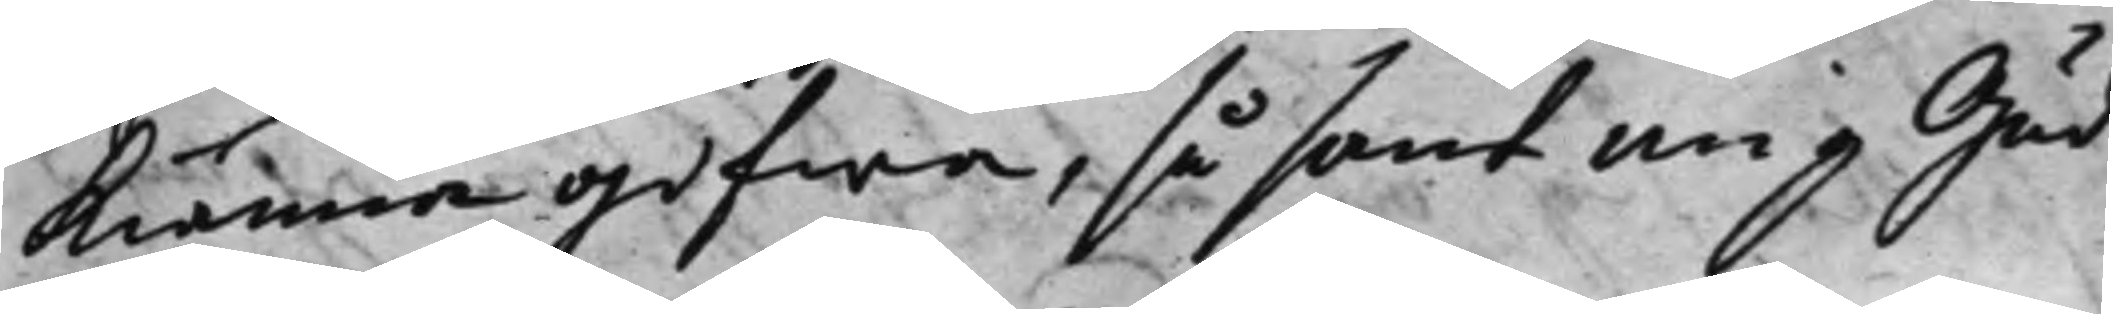kiänna gifwa, så sant mig Gud
